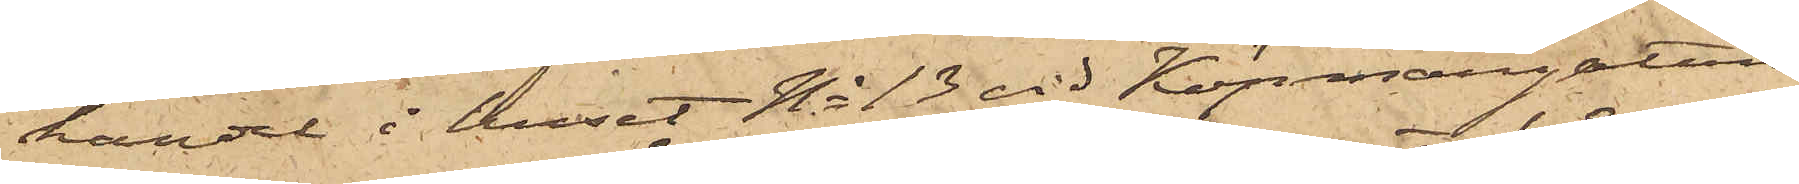handel i huset No 13 vid Köpmangatan,
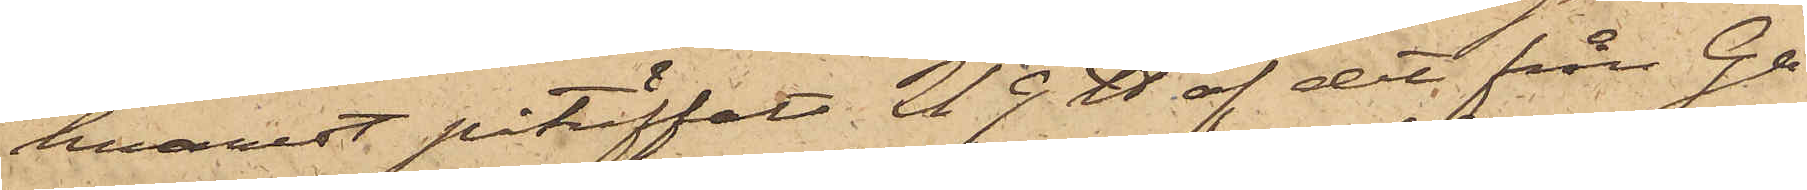hvarest påträffats 219 ℔ af det från Ga¬
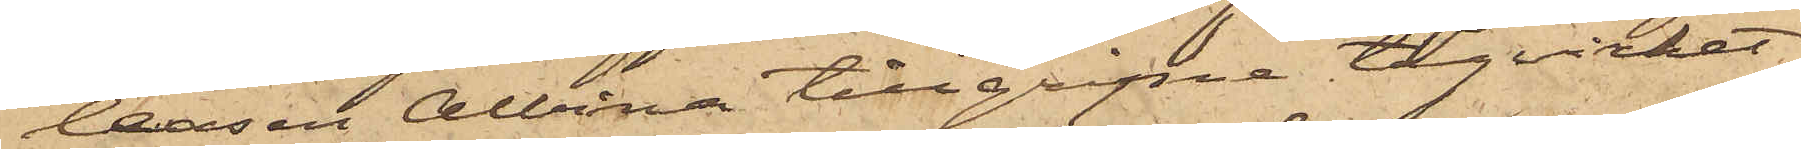leasen Albina tillgripne tågvirket,
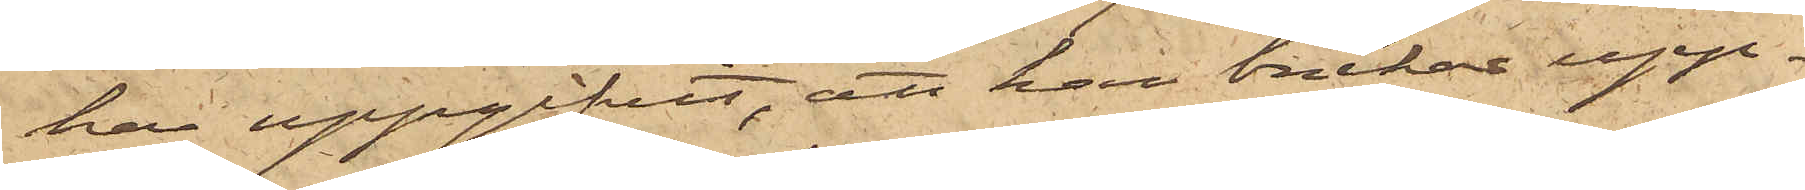har uppgifvit, att han brukar upp¬
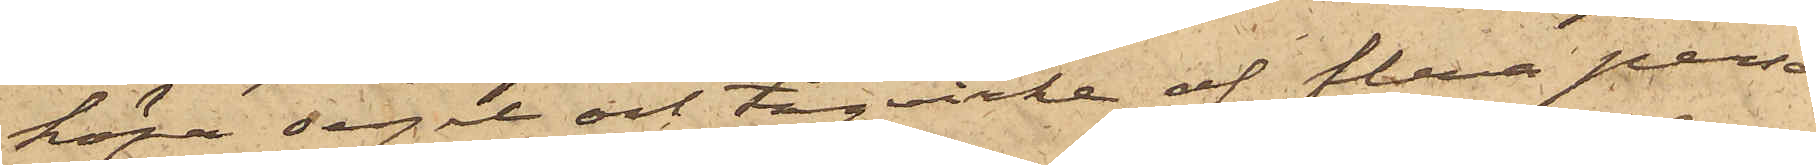köpa segel och tågvirke af flere perso¬
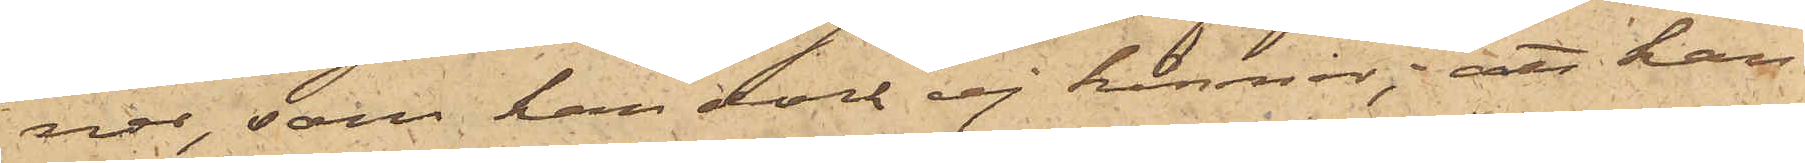nor, som han dock ej känner; att han
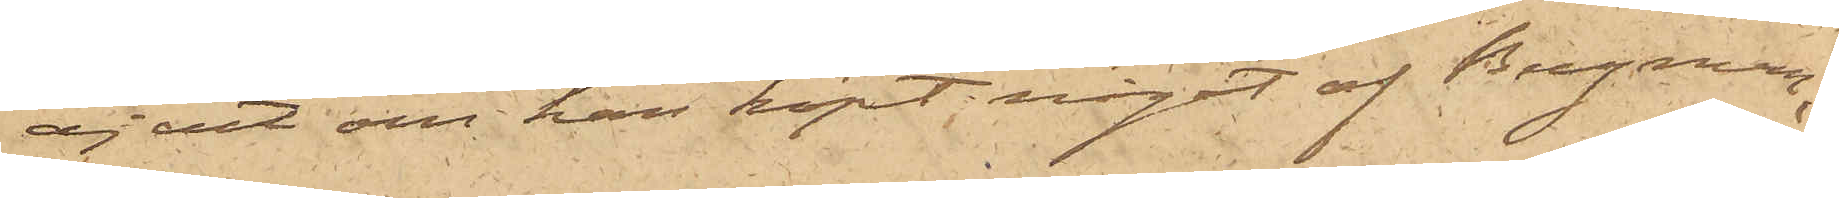ej vet om han köpt något af Bergman;
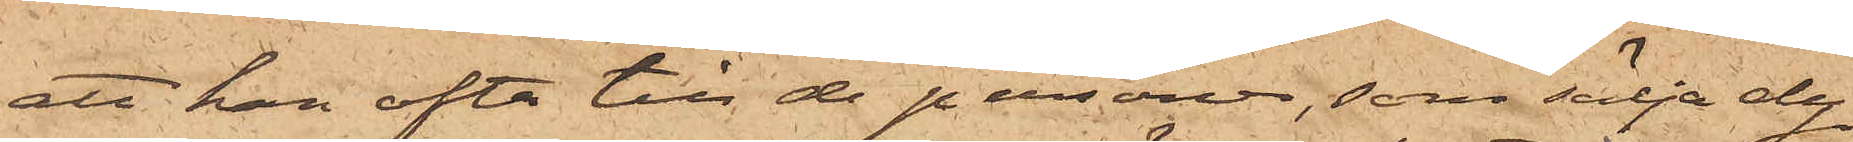att han ofta till de personer, som sälja dy¬
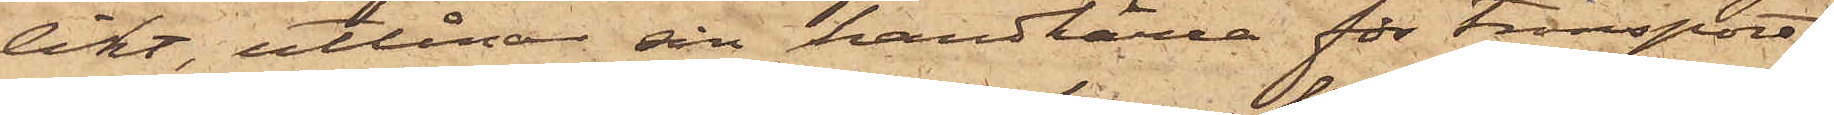likt, utlånar sin handkärra för transport
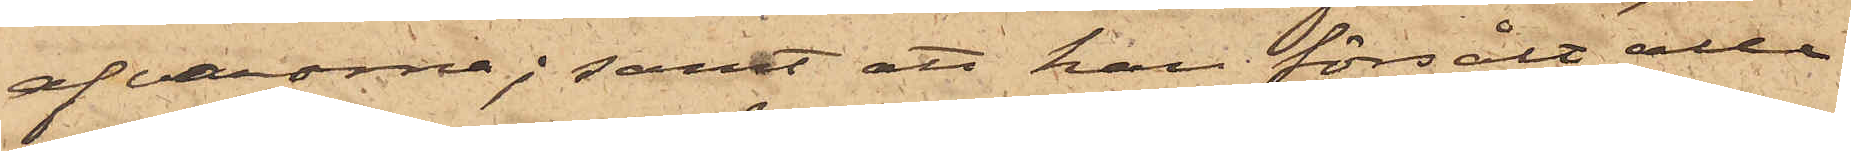af varorna; samt att han försålt alla
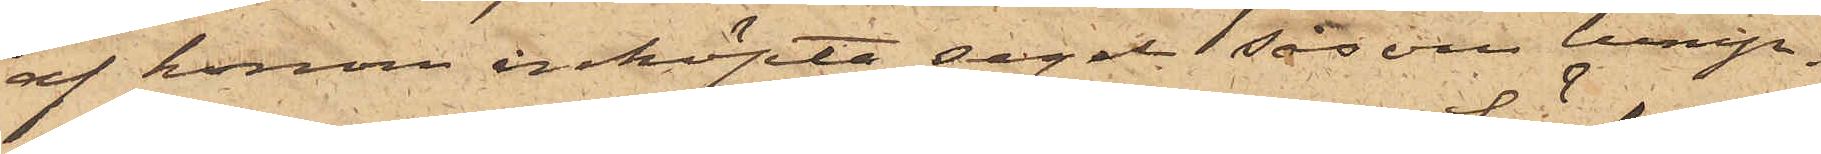af honom inköpte segel såsom lump.
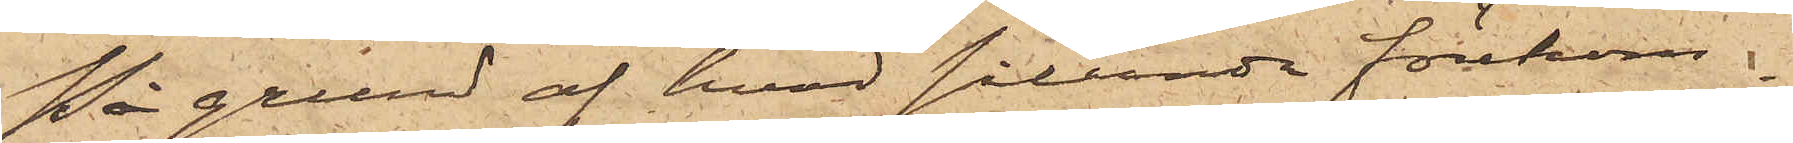På grund af hvad sålunda förekom¬
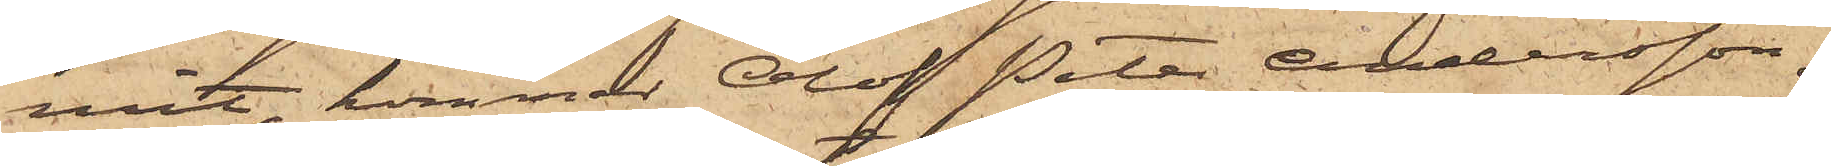mit, kommer Olof Peter Andersson,
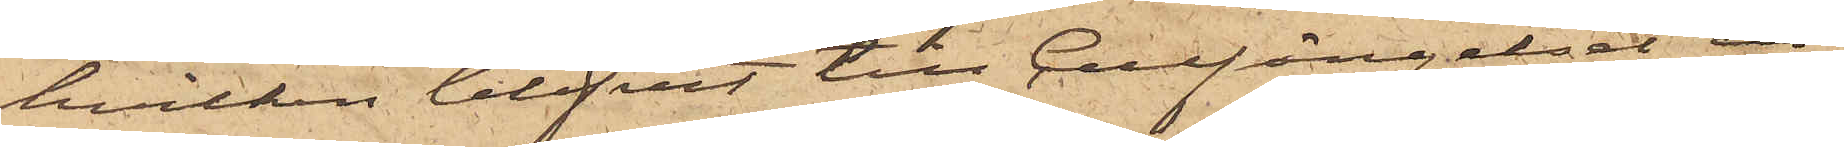hvilken blifvit till Cellfängelset in¬
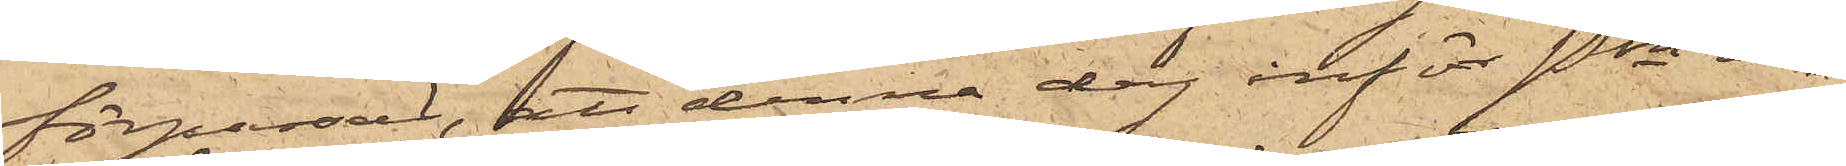förpassad, att denna dag inför Pkn in¬
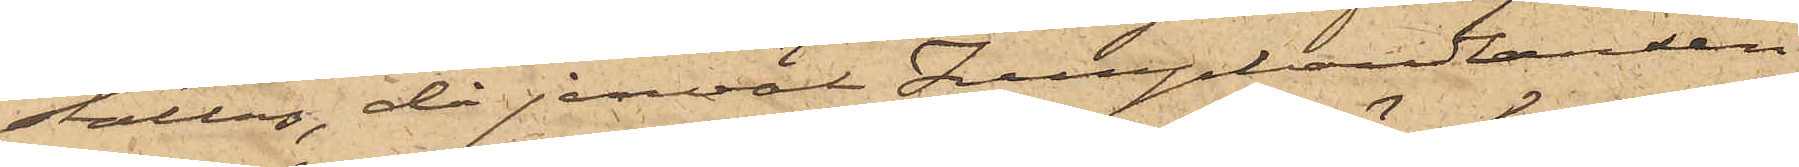ställas, då jemväl Lumphandlanden
